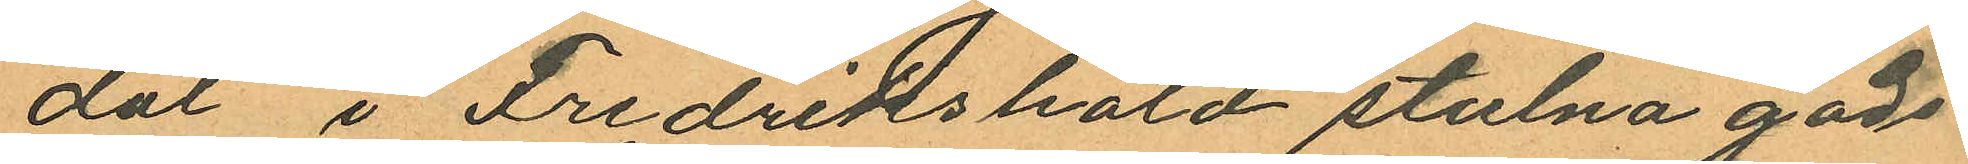dal i Fredrikshald stulna gods
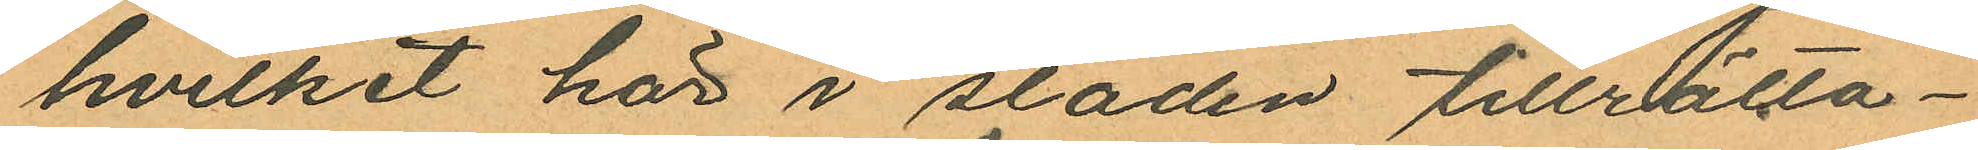hvilket här i sladen tillrätta¬
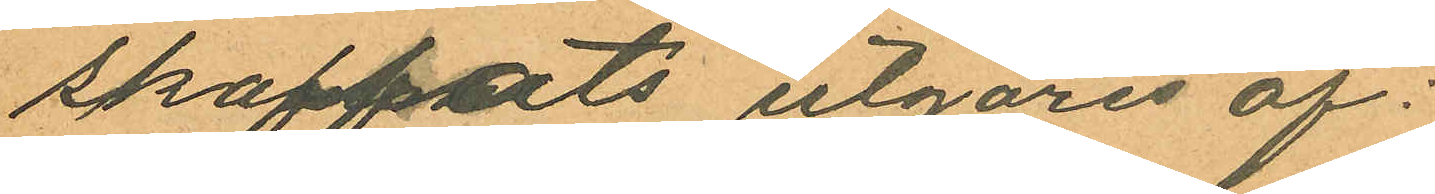skaffats utgöres af:
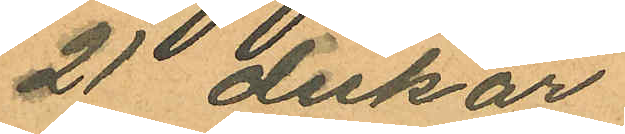21 dukar
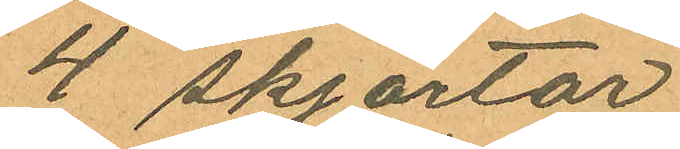4 skjortor
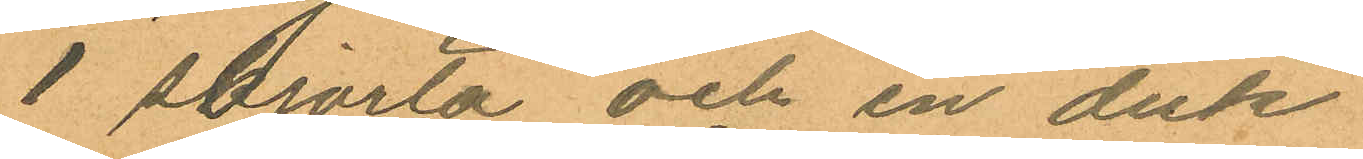1 skjorta och en duk
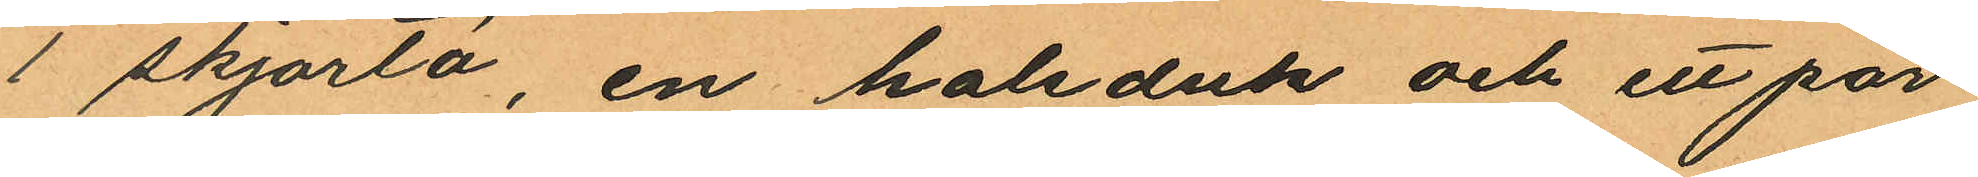1 skjorta, en halsduk och ett par
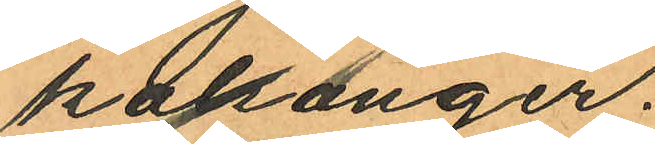kalsonger.
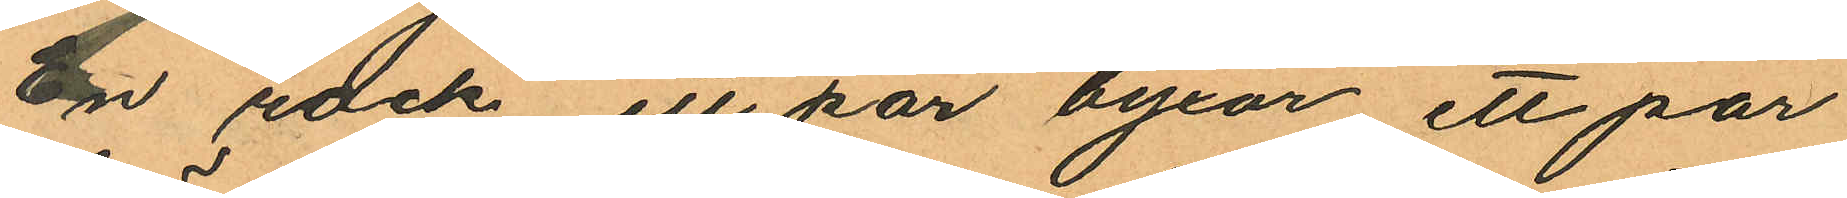En rock ett par byxor ett par
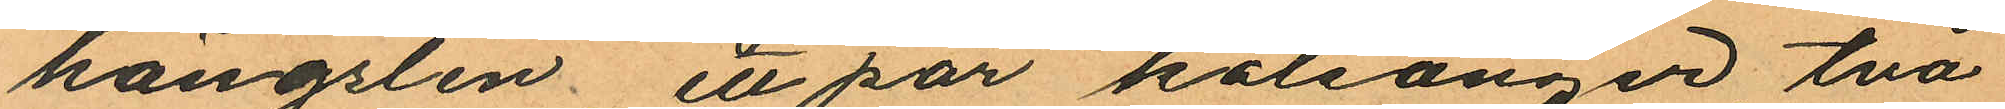hängslen, ett par kalsonger två
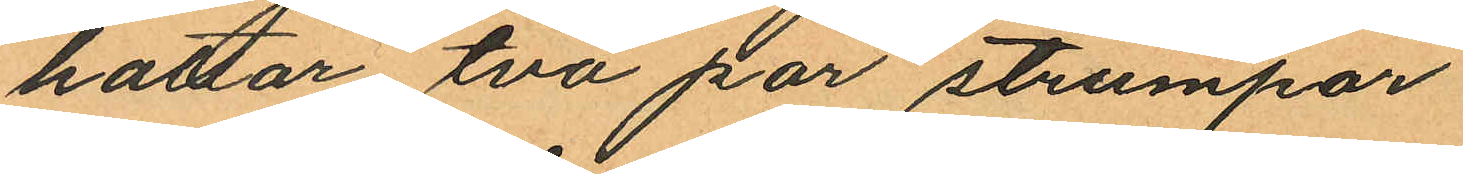hattar två par strumpar
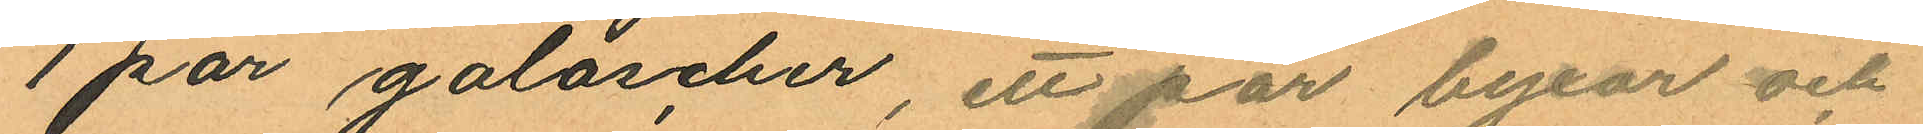1 par galoscher, ett par byxor och
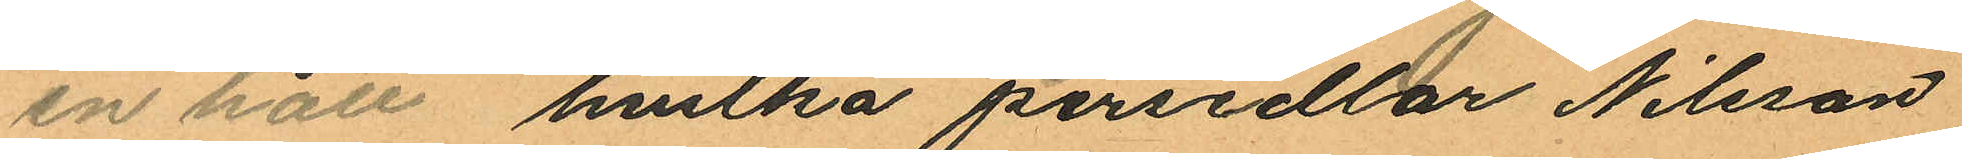en hatt, hvilka persedlar Nilsson
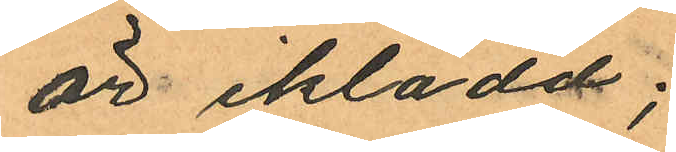är iklädd;
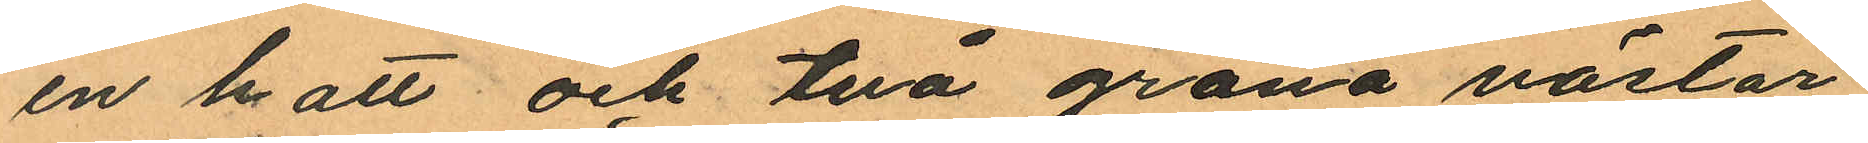en hatt och två gröna västar
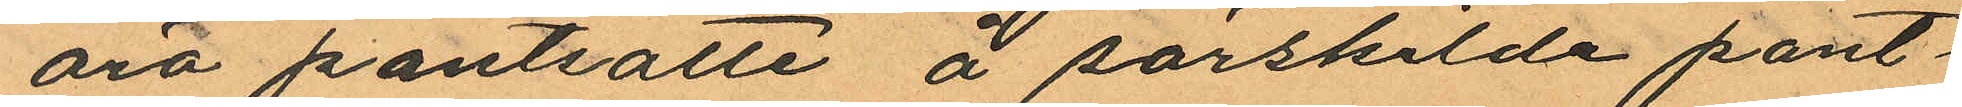äro pantsatte å särskilde pant¬
